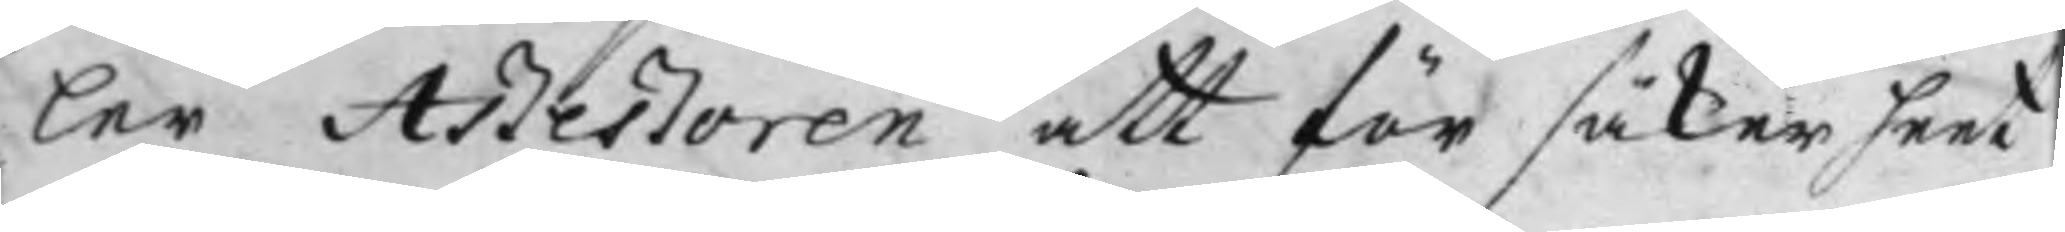ler Aßeßoren att för säkerheet
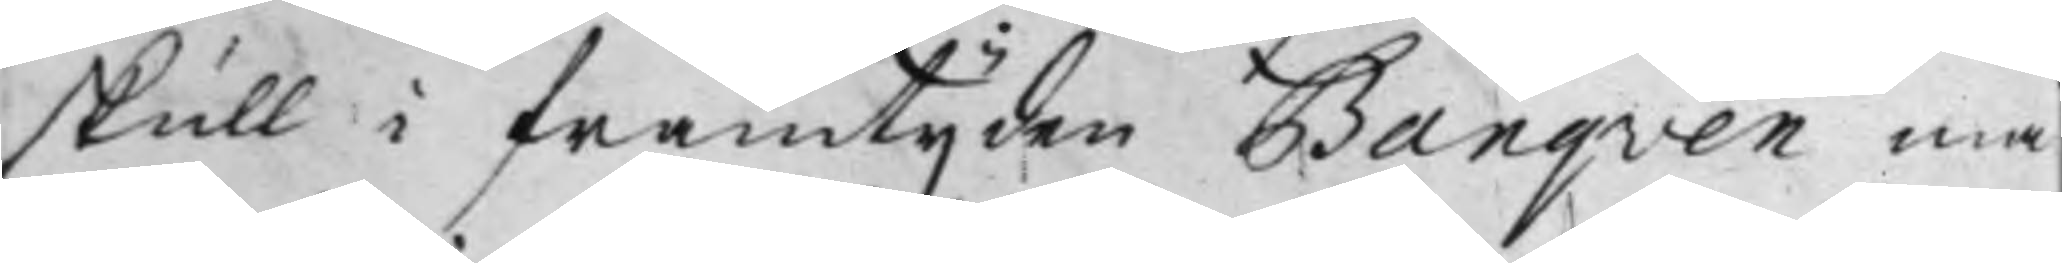skull i framtijden Banqven må
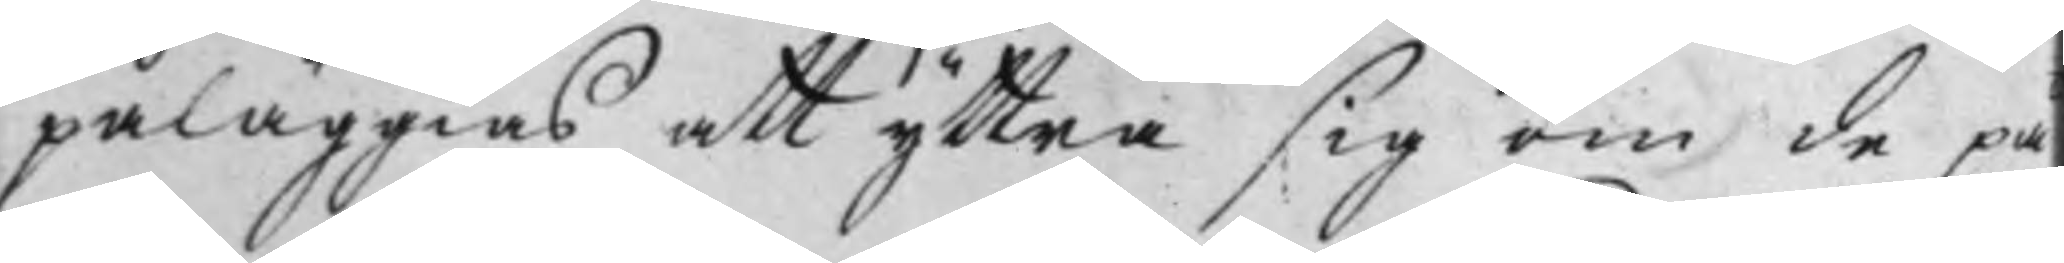påläggias att yttra sig om de på
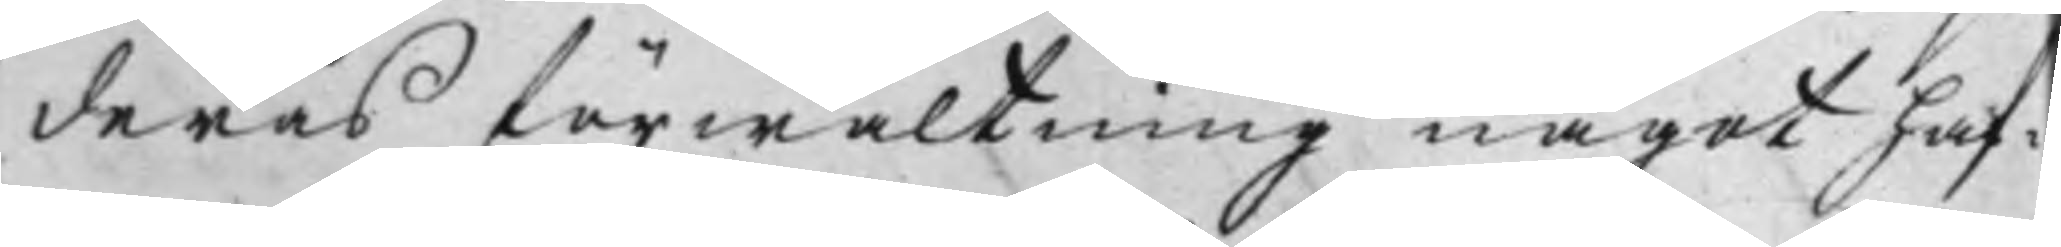deras förwaltning något haf¬
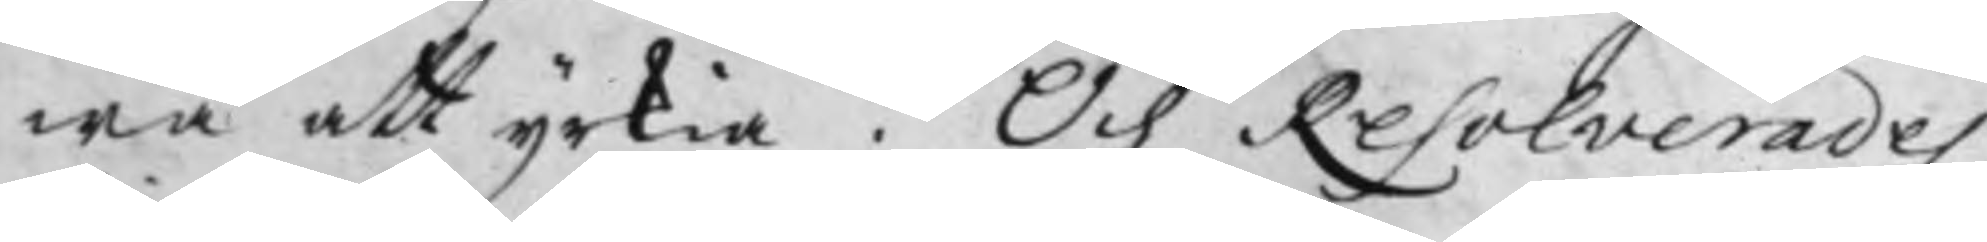wa att yrkia. Och Resolverades
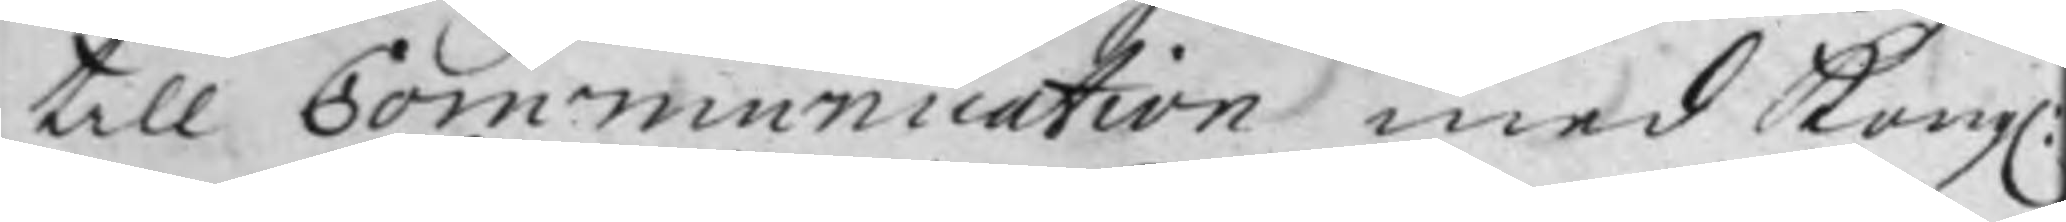till Communication med Kong:
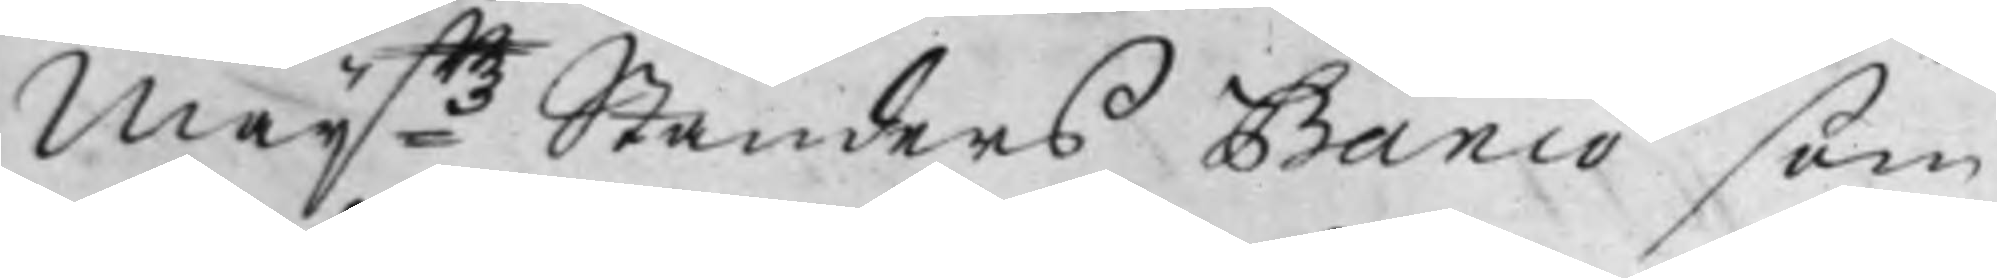Maij:ttz Ständers Banco som
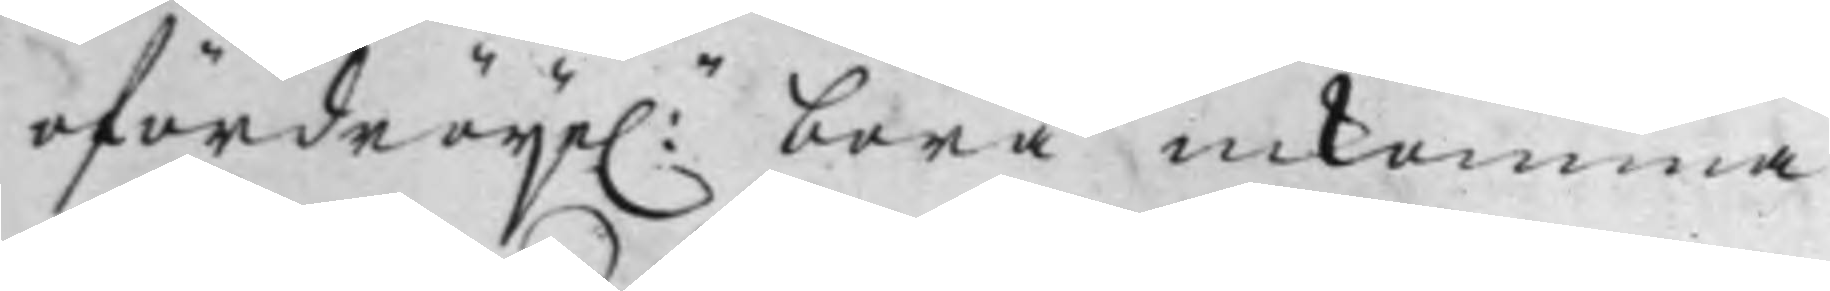ofördröije:n böra inkomma
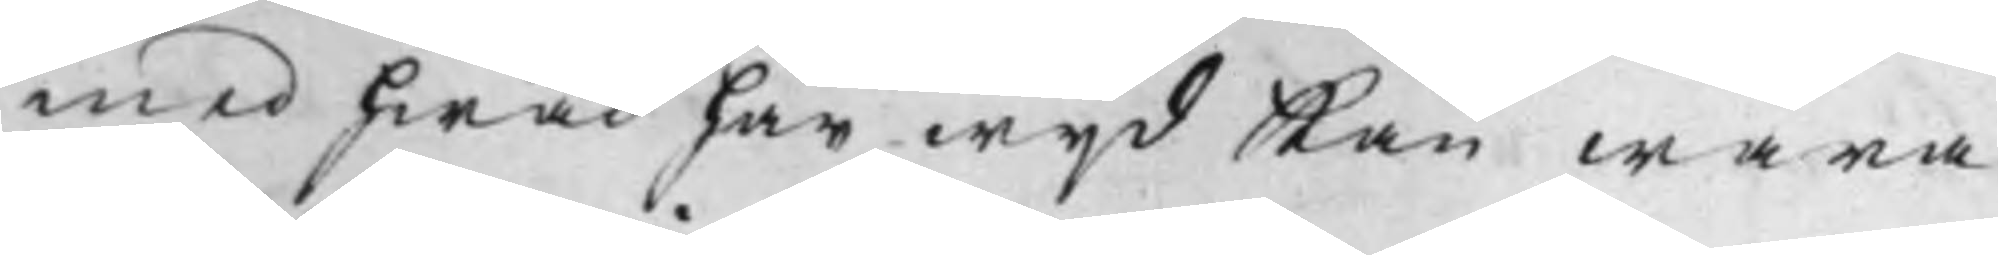med hwad här wijd Kan wara
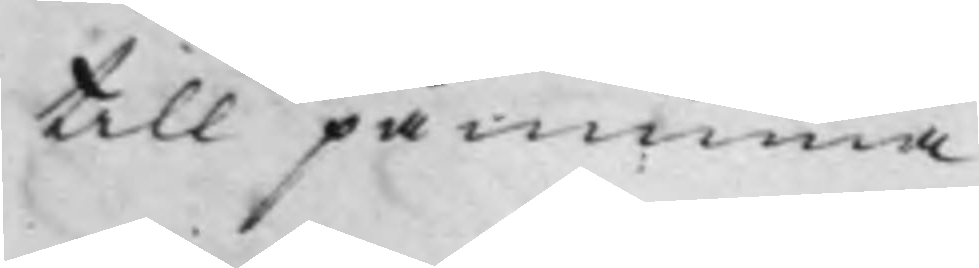till påminna.
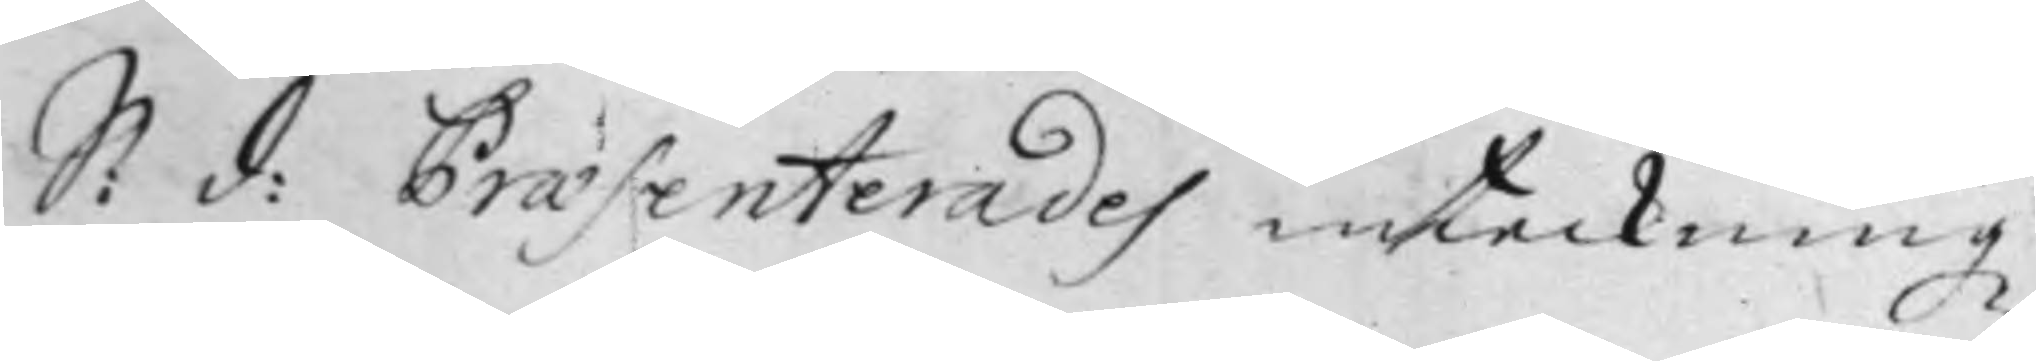S: d: Praesenterades inteckningz¬
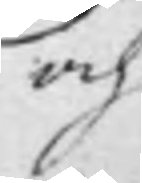och
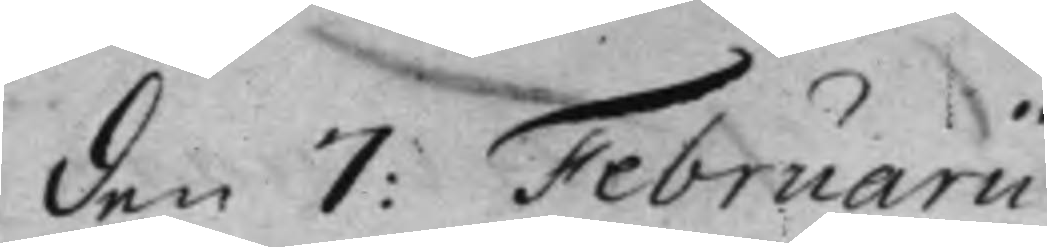den 7: Februarii.
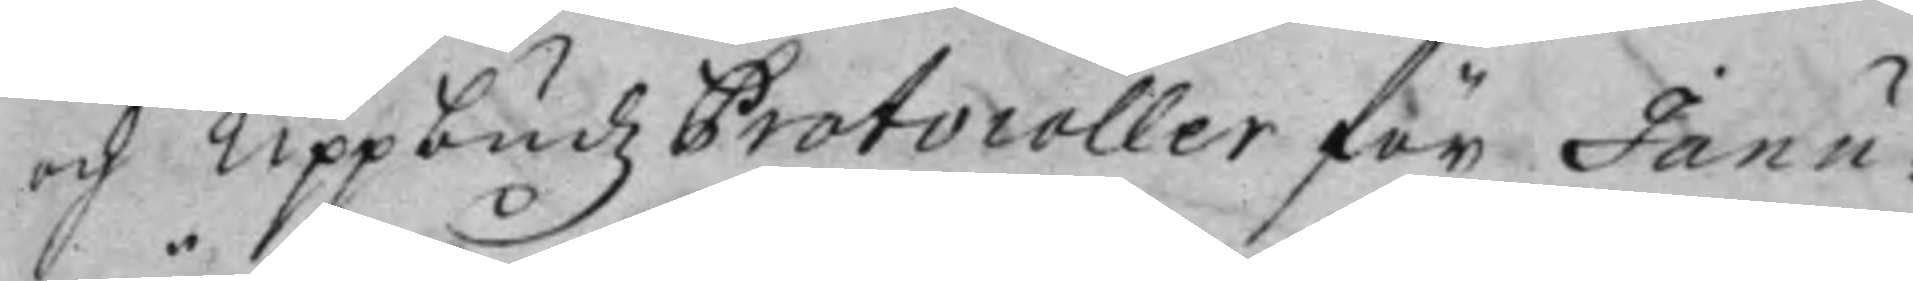och Uppbudz Protocoller för Janu¬
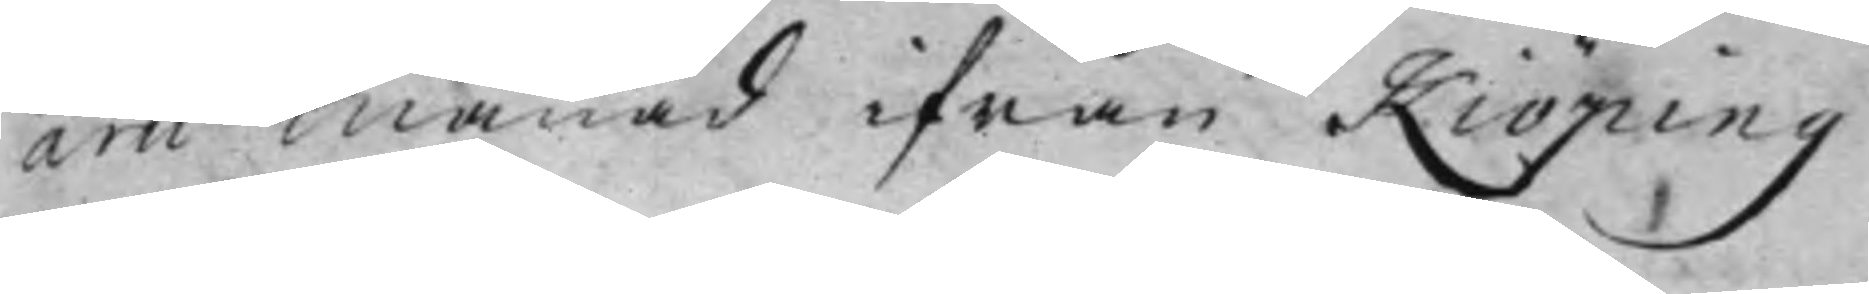arii Månad ifrån Kiöping.
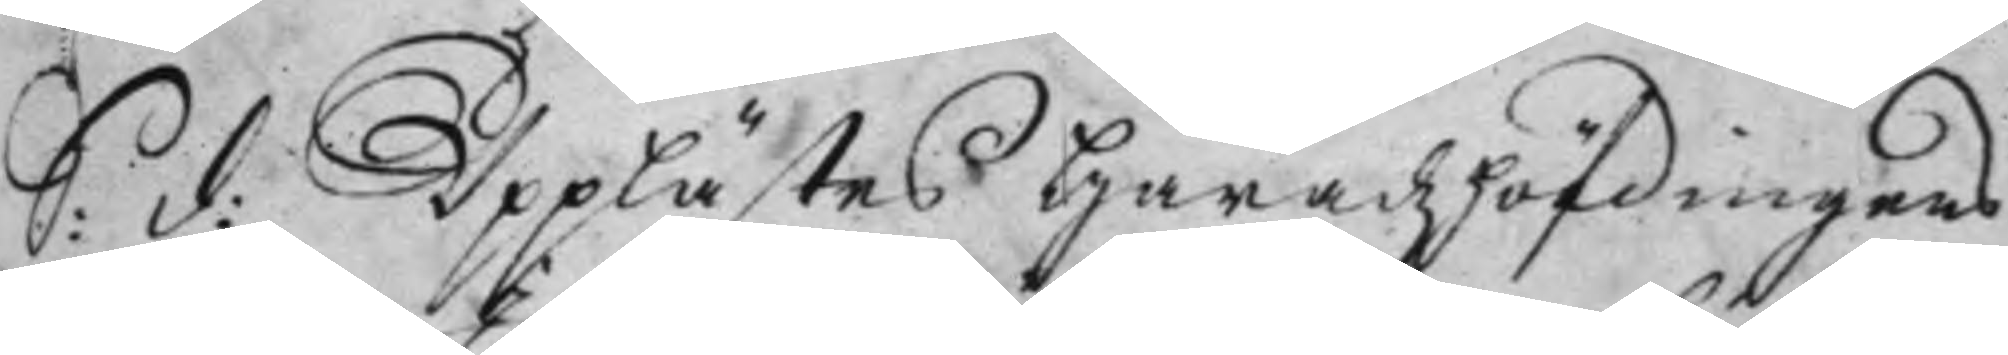S: d: Upplästes Häradz höfdingens
